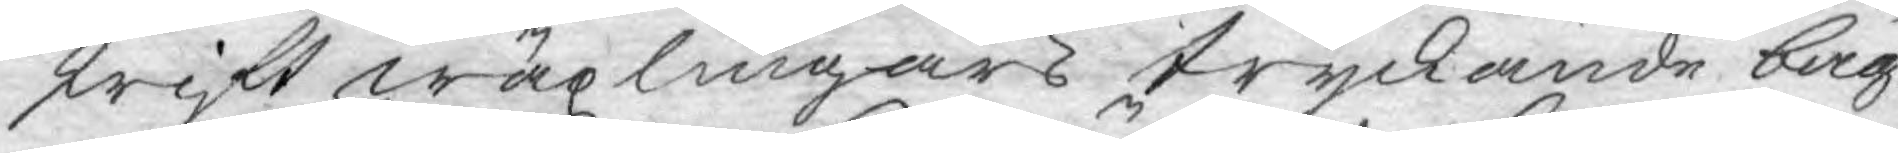skrift wäxlingars tryckande bäg¬
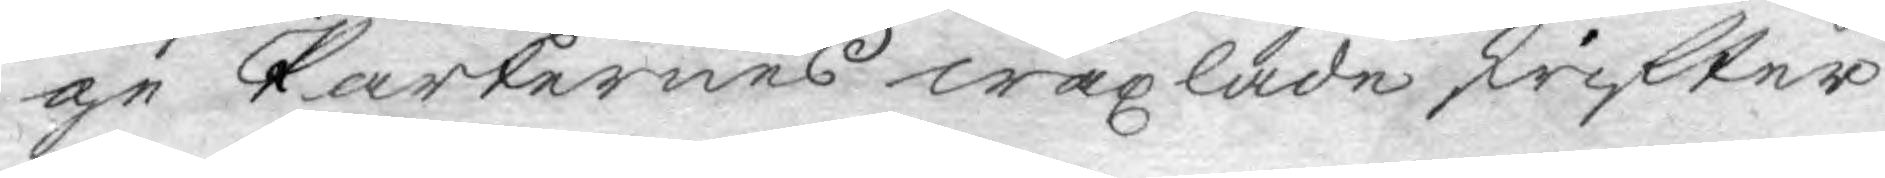ge Parternes wäxlade skrifter
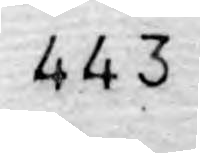443
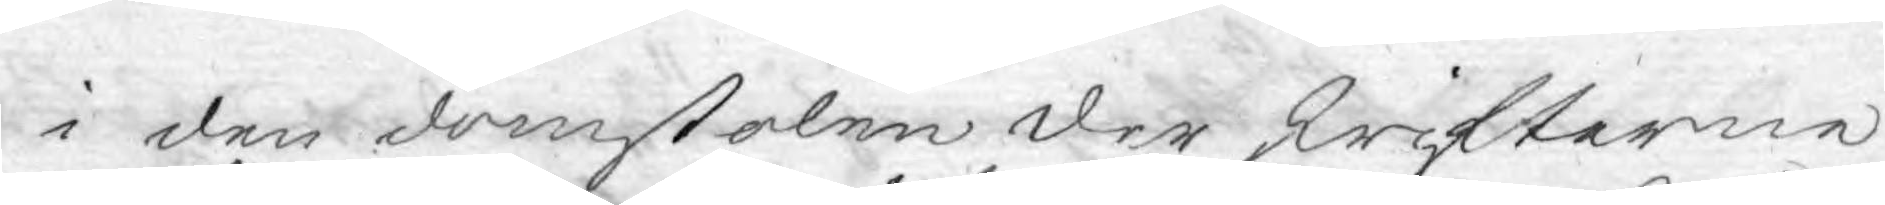i den domstolen der skrifterne
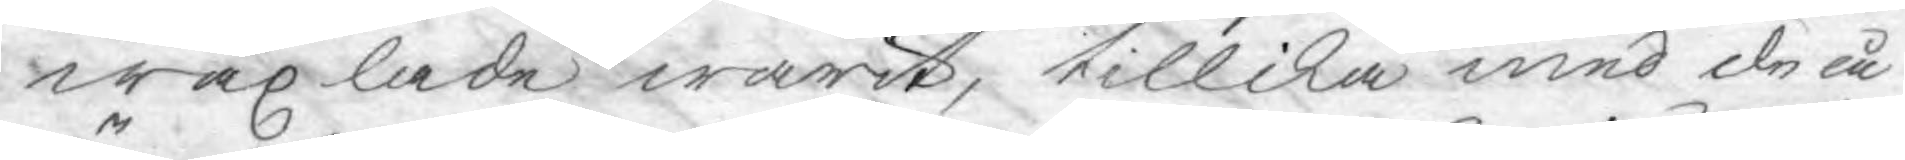wäxlade warit, tillika med de å
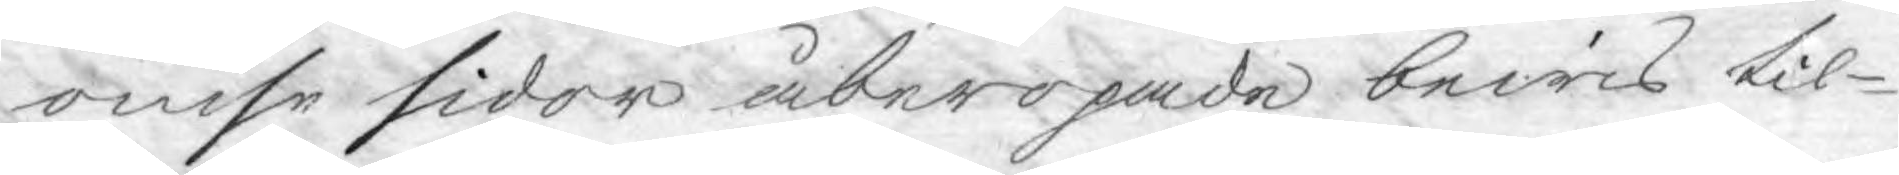ömse sidor åberopade bewis til¬
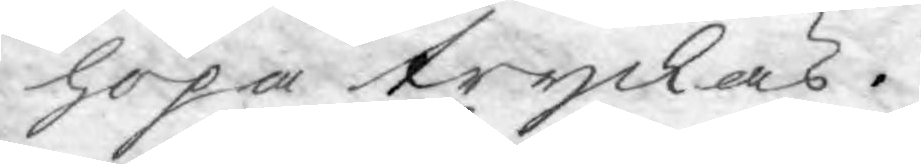hopa tryckas.
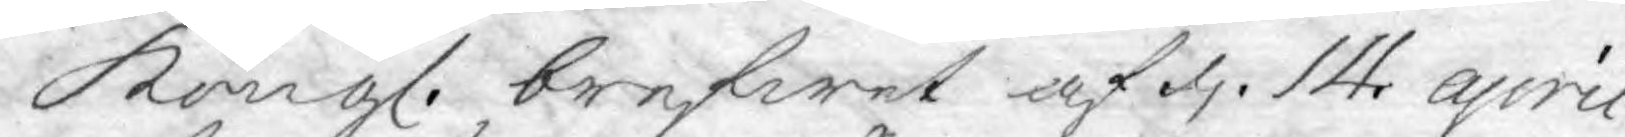Kongl. brefwet af d. 14. april
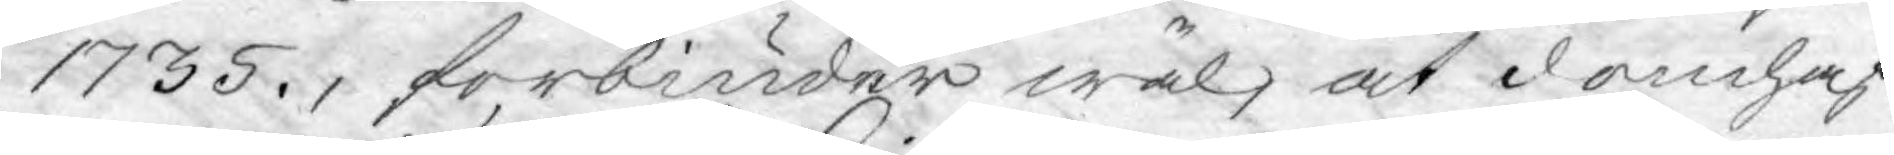1735., förbiuder wäl, at domhaf¬
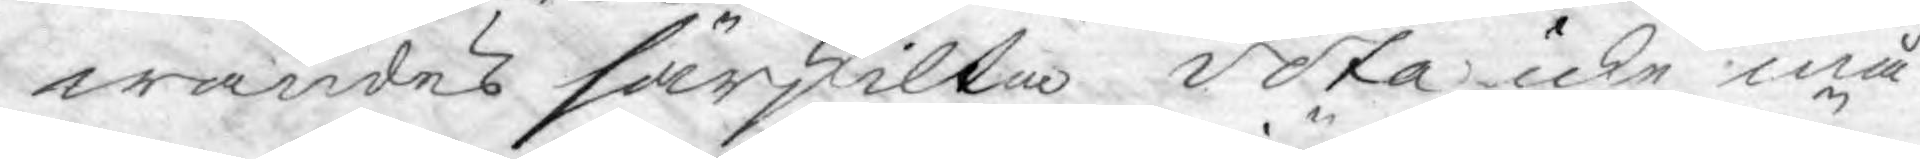wandes särskilta vota icke må
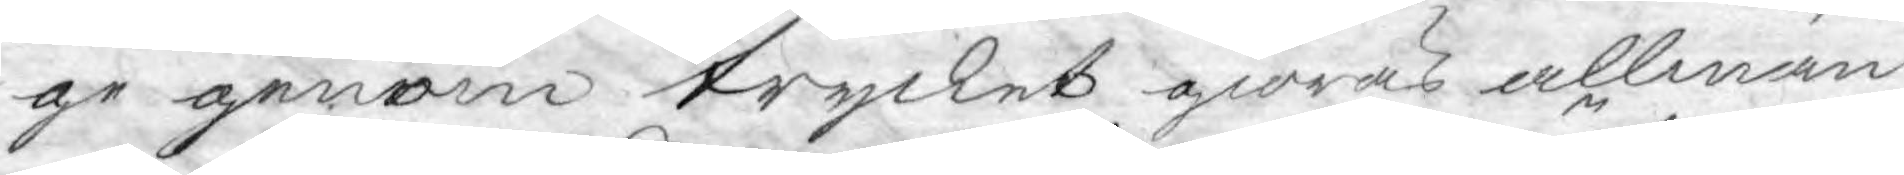ge genom trycket giöras allmän¬
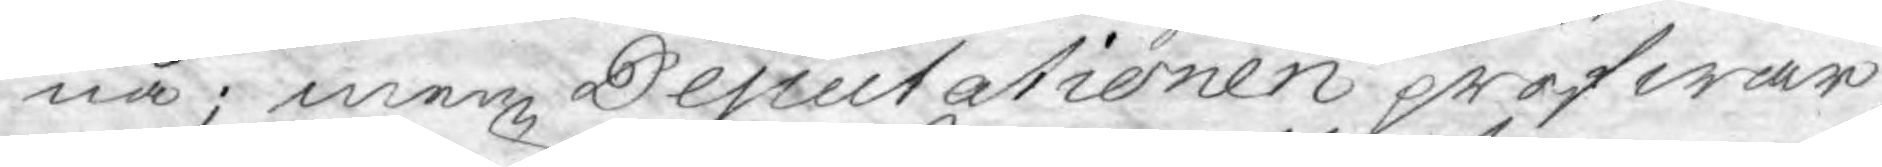na; men Deputationen pröfwar,
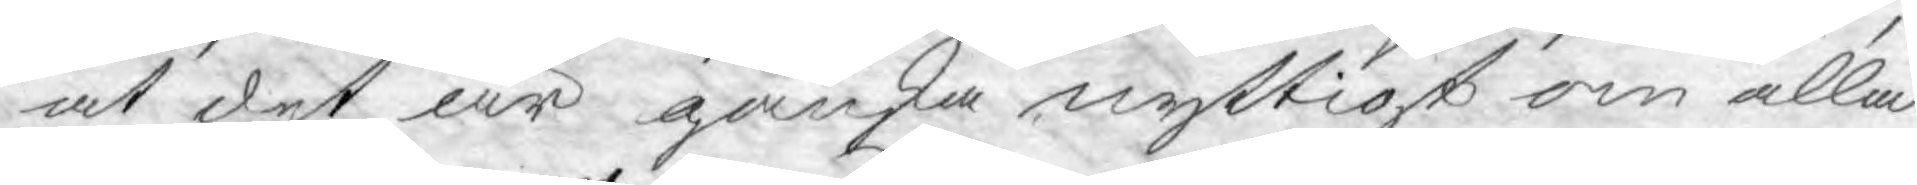at det är ganska nyttigt om alla
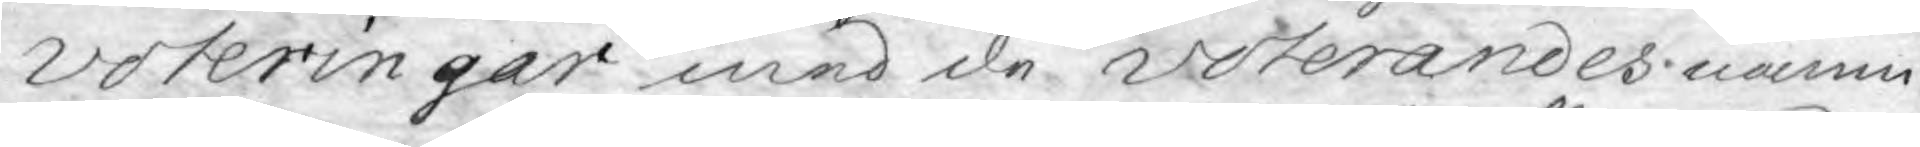voteringar med de voterandes namn
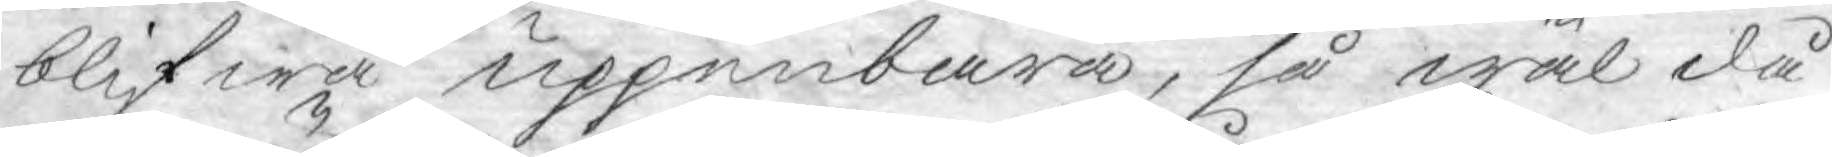blifwa uppenbara, så wäl då
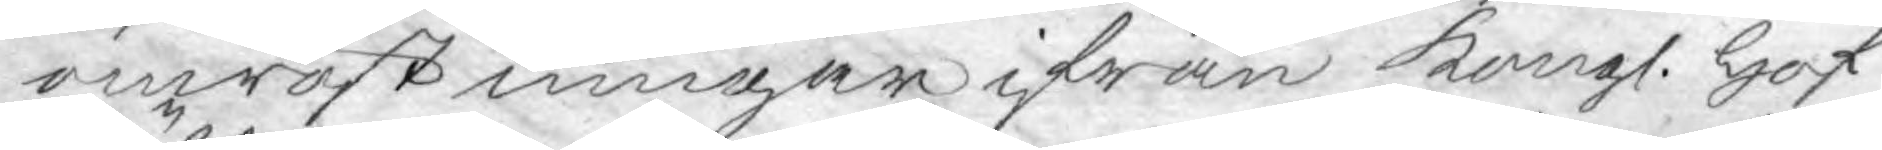omröstningar ifrån Kongl. Hof¬
